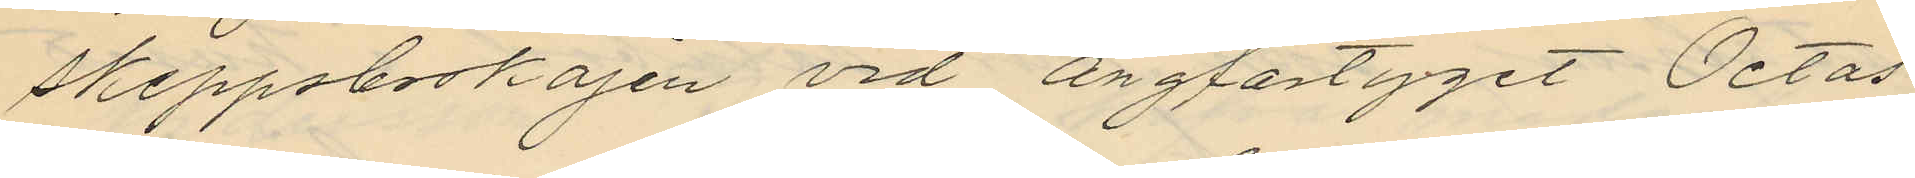skeppsbroskajen vid ångfartyget Octas
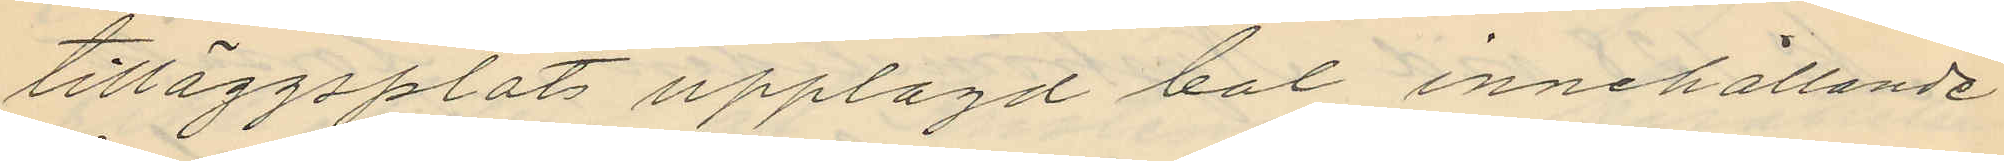tilläggsplats upplagd bal innehållande
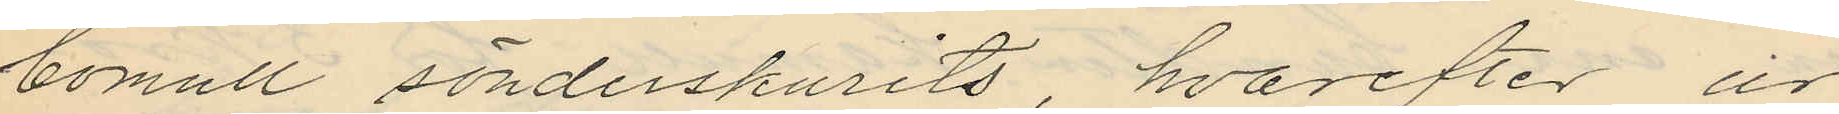bomull sönderskurits, hvarefter ur
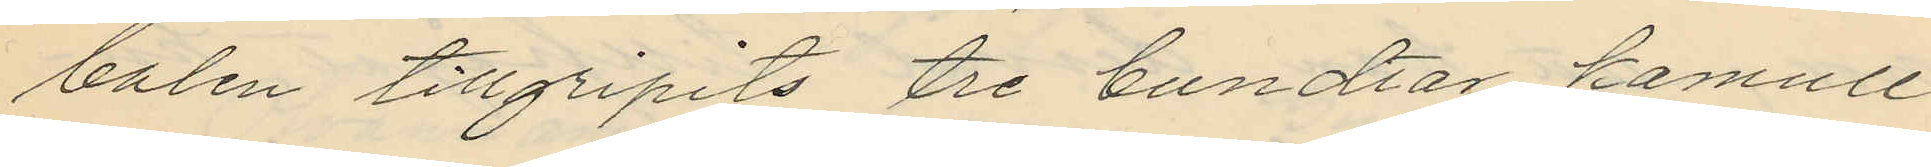balen tillgripits tre bundtar kamull
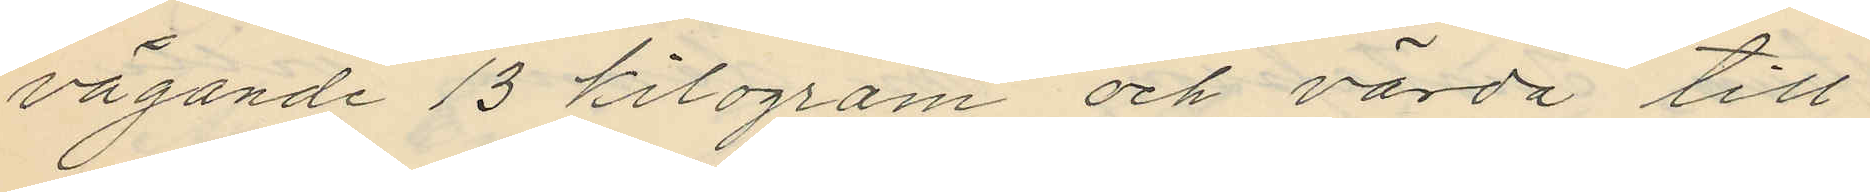vägande 13 kilogram och värda till
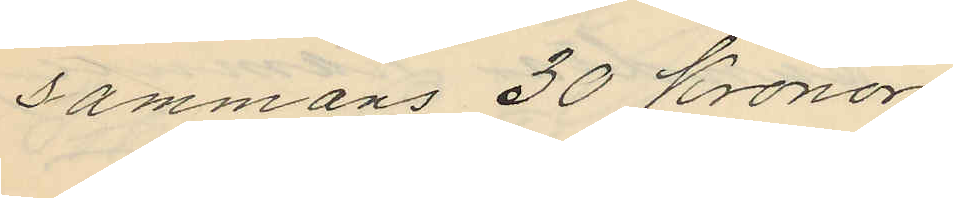sammans 30 Kronor.
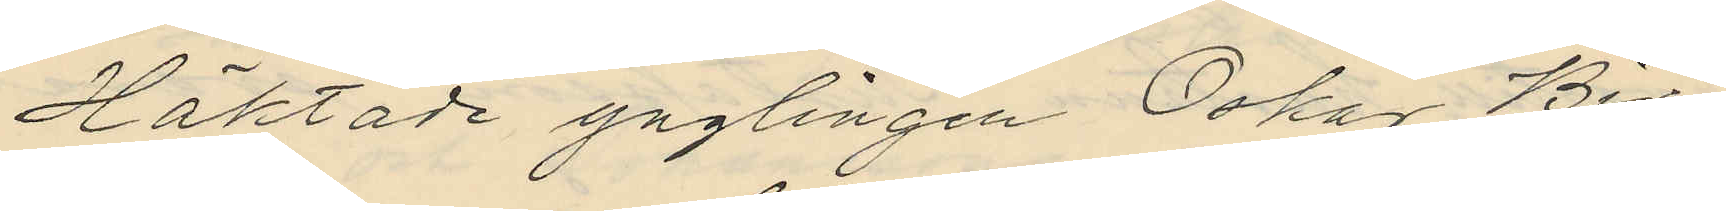Häktade ynglingen Oskar Bir¬
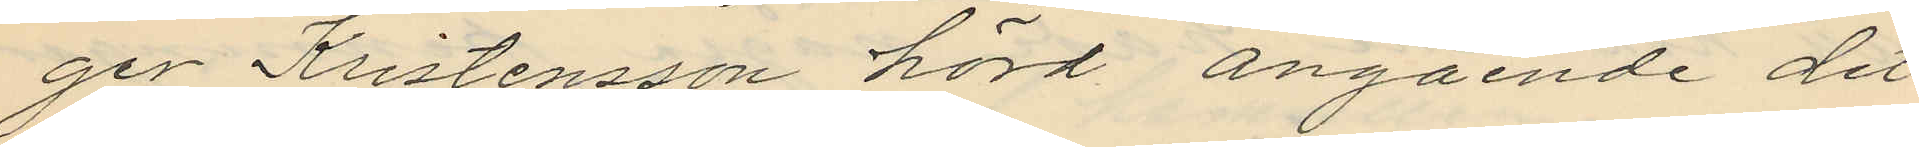ger Kristensson hörd angående det
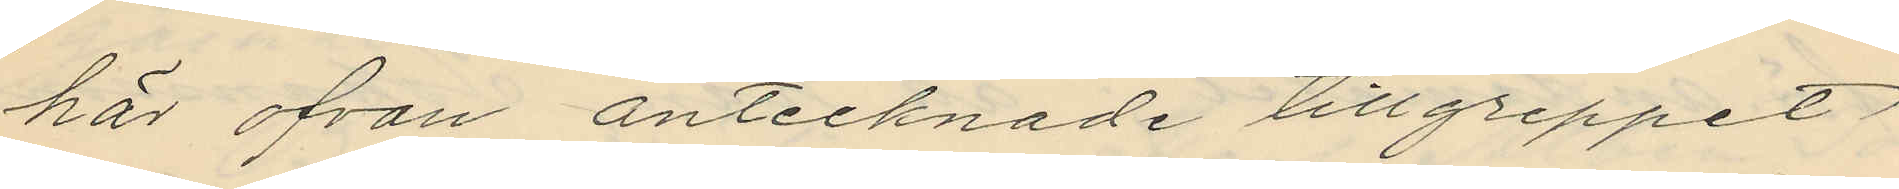här ofvan antecknade tillgreppet
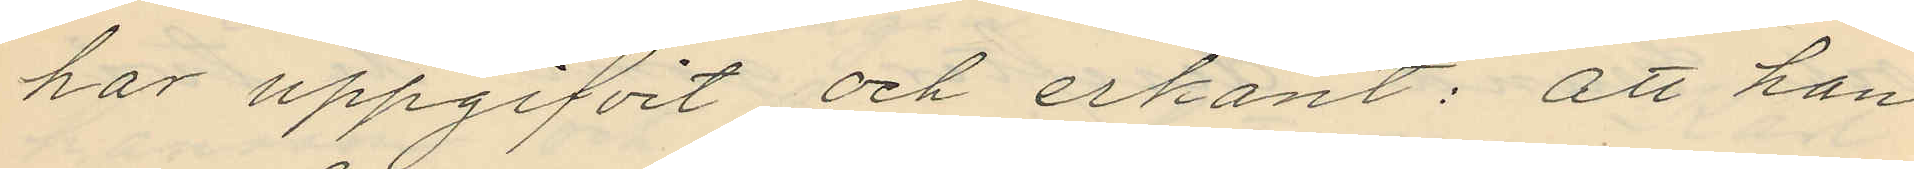har uppgifvit och erkänt: att han
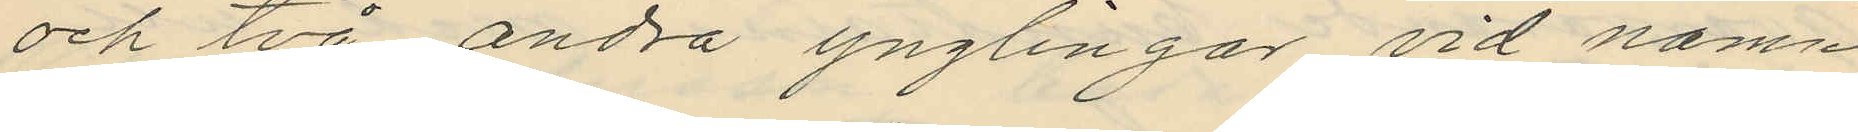och två andra ynglingar vid namn
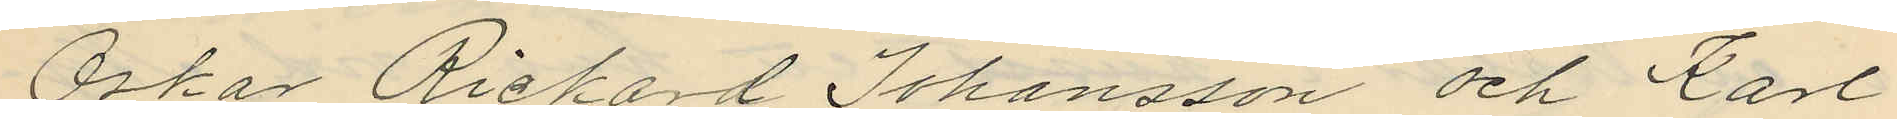Oskar Richard Johansson och Karl
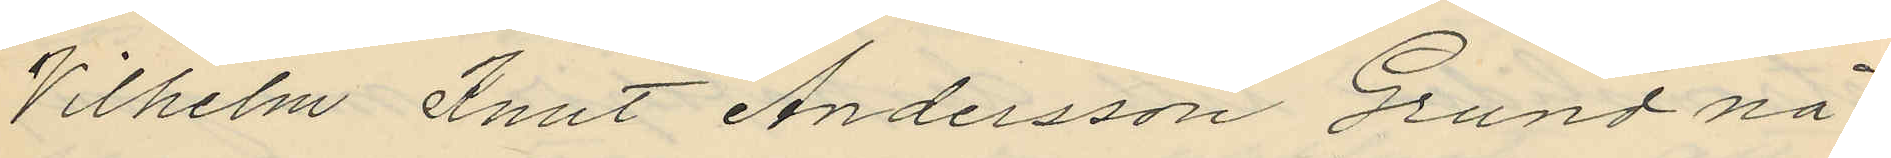Vilhelm Knut Andersson Grund nå¬
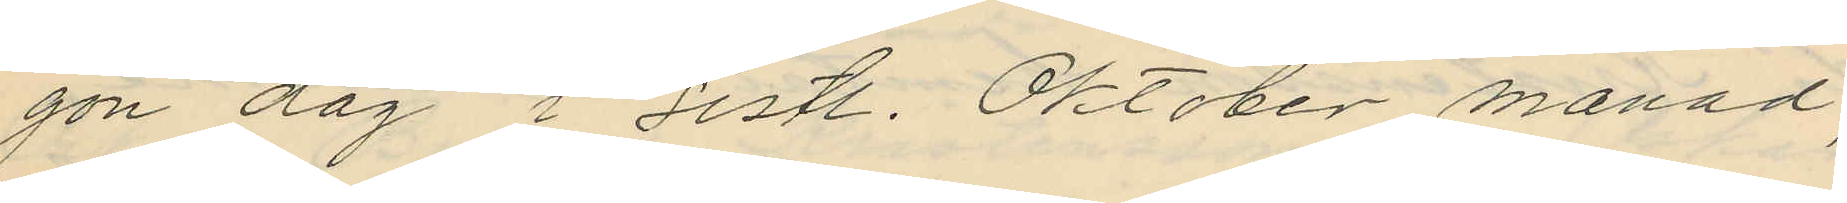gon dag i sistl. Oktober månad,
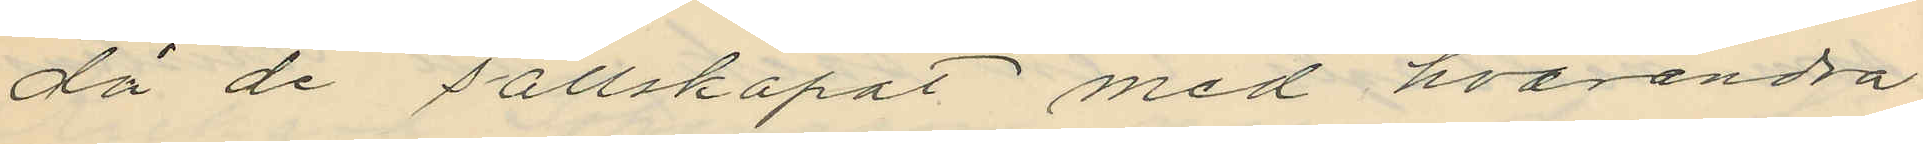då de sällskapat med hvarandra
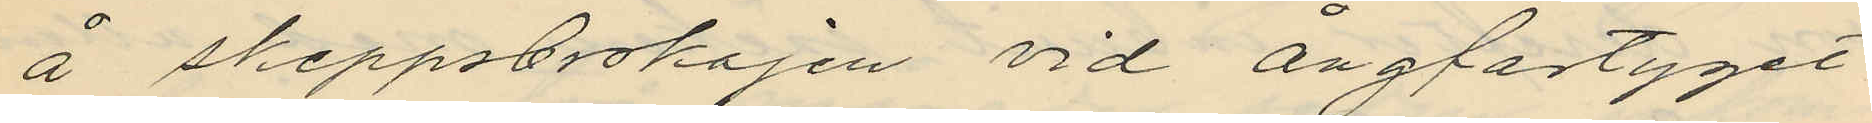å skeppsbrokajen vid ångfartyget
